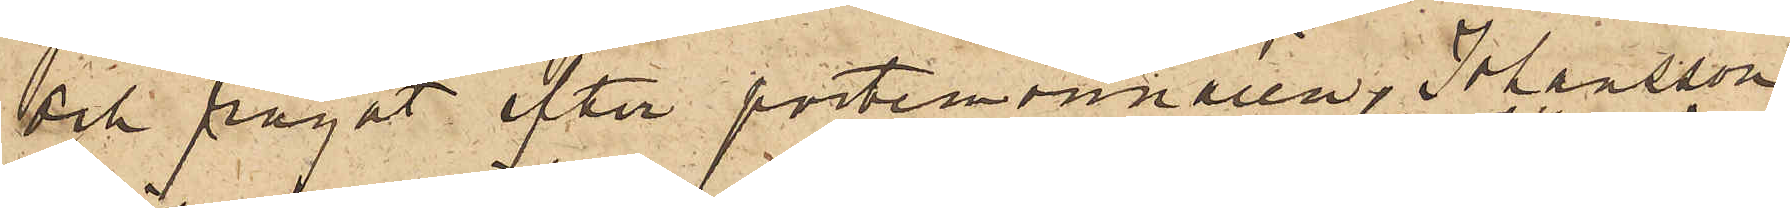och frågat efter portemonnaien, Johansson
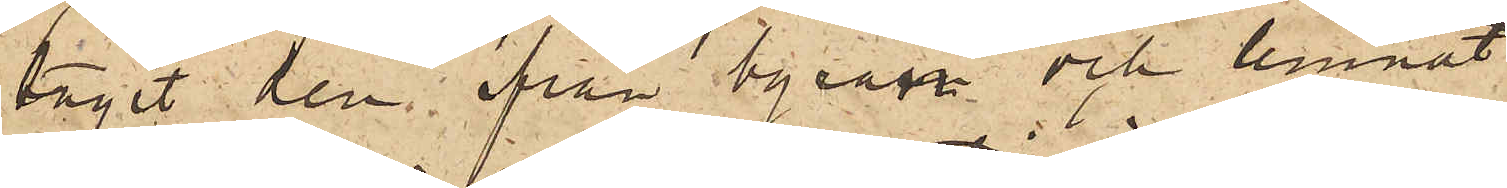tagit den från byrån och lemnat
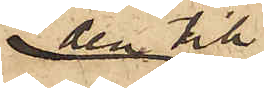den till
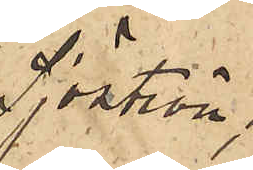Sjöström;
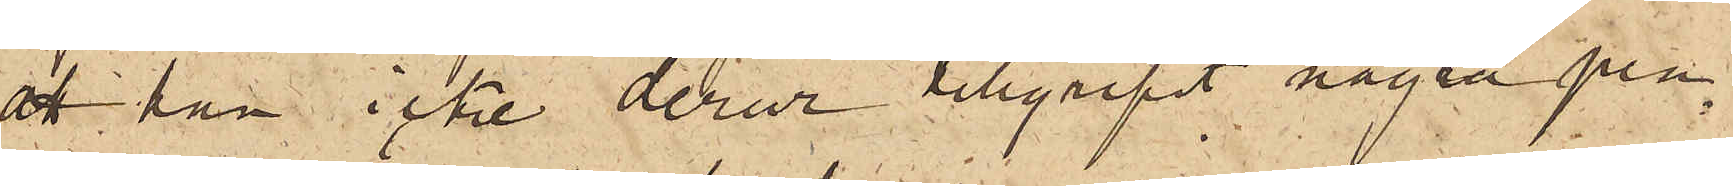att han icke derur tillgripit några pen¬
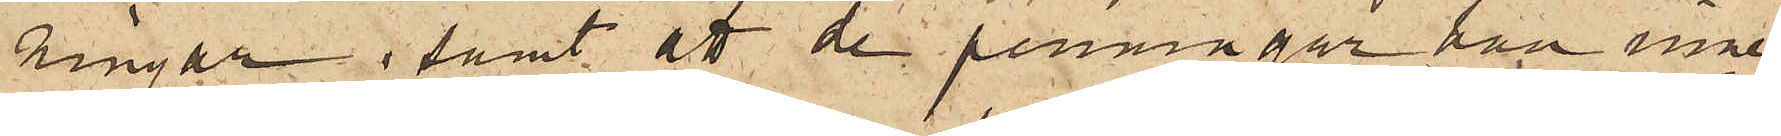ningar; samt att de penningar han inne¬
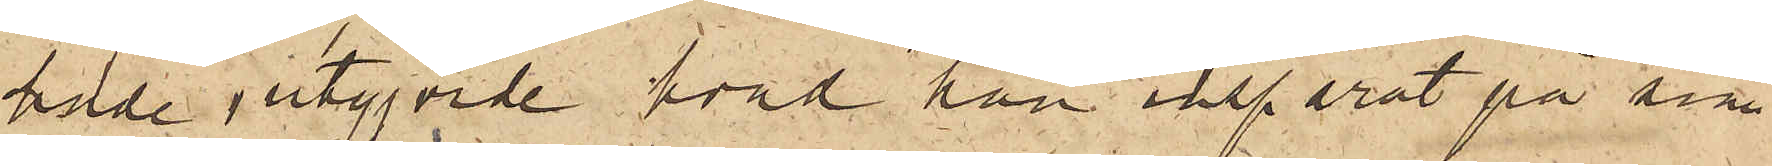hade, utgjorde hvad han insparat på sina
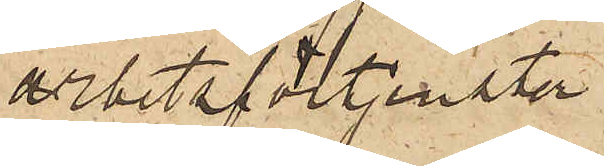arbetsförtjenster.
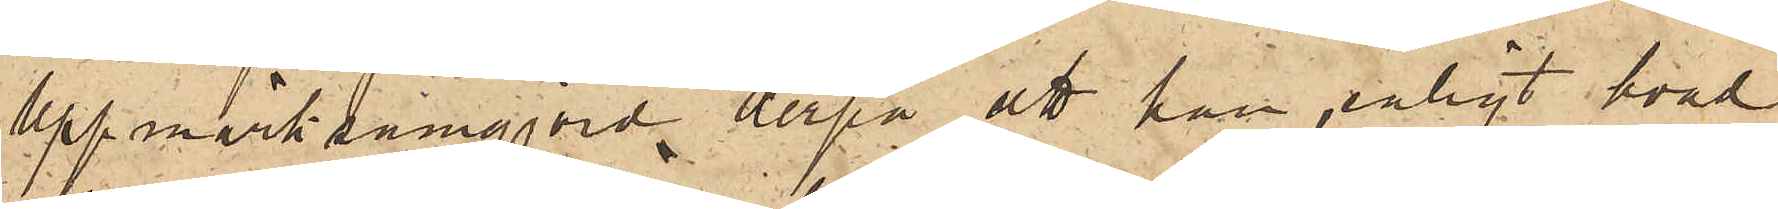Uppmärksamgjord derpå, att han enligt hvad
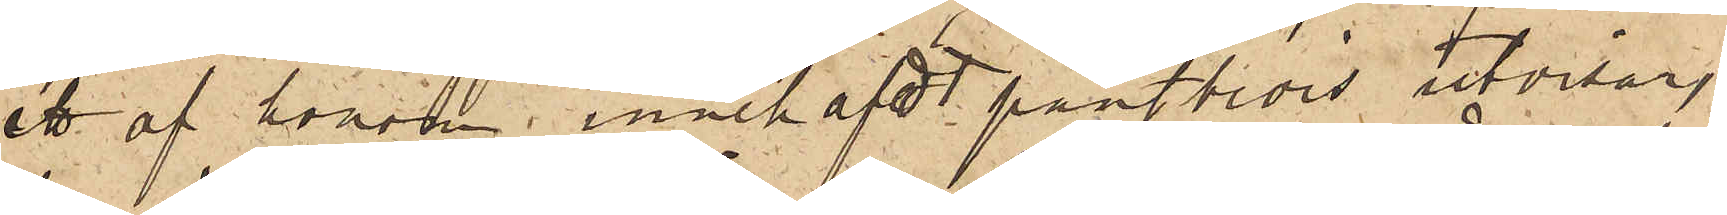ett af honom, innehafdt pantbevis utvisar,
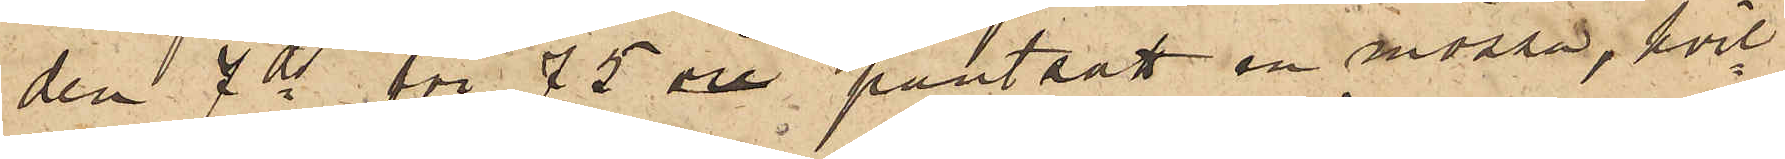den 7 ds för 75 öre pantsatt en mössa, hvil¬
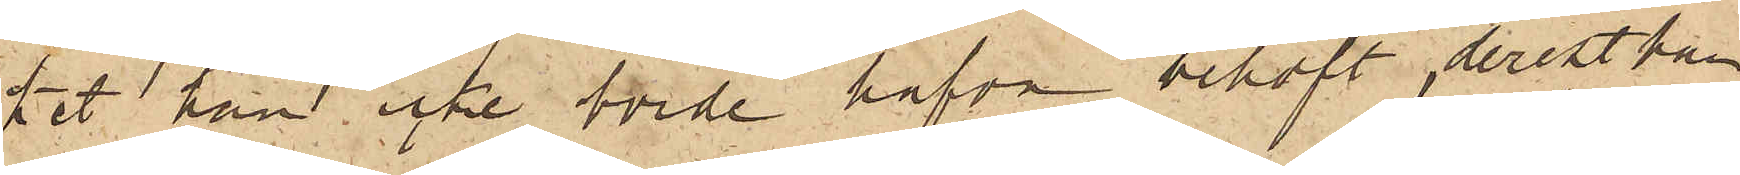ket han icke borde hafva behöft, derest han
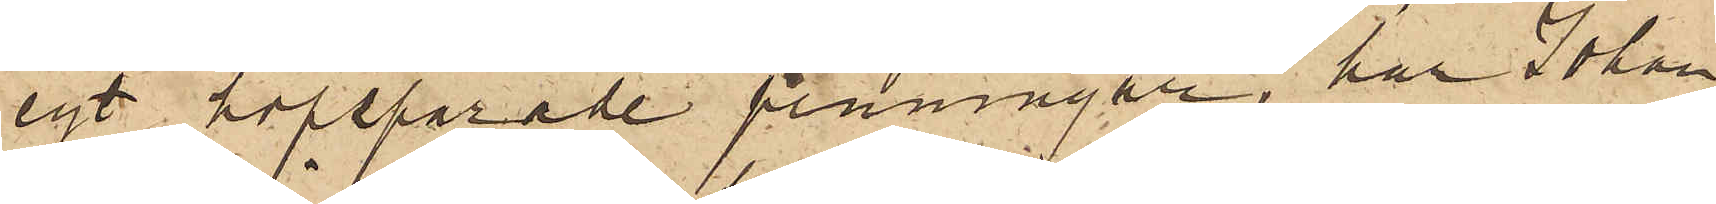egt hopsparade penningar, har Johan¬
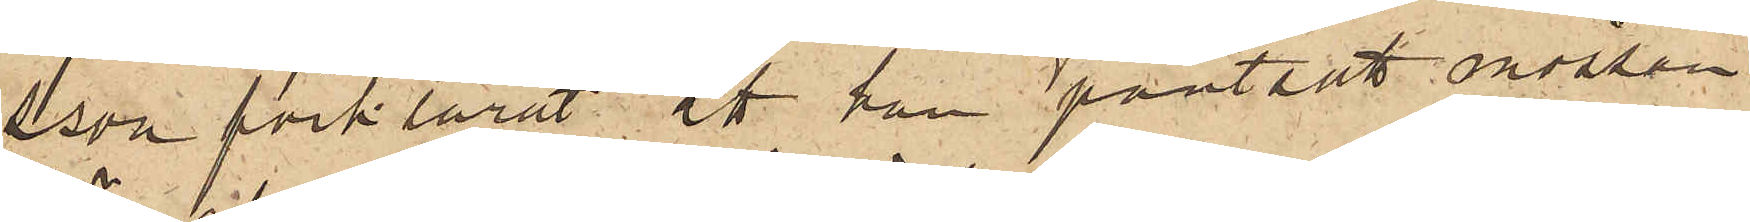sson förklarat, att han pantsatt mössan
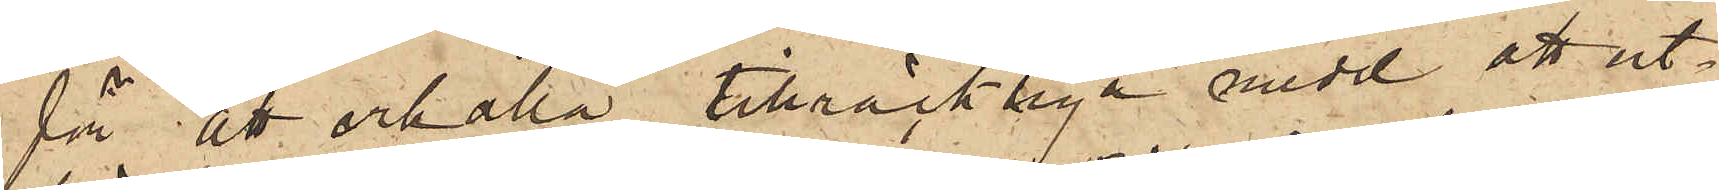för att erhålla tillräckliga medel att ut¬
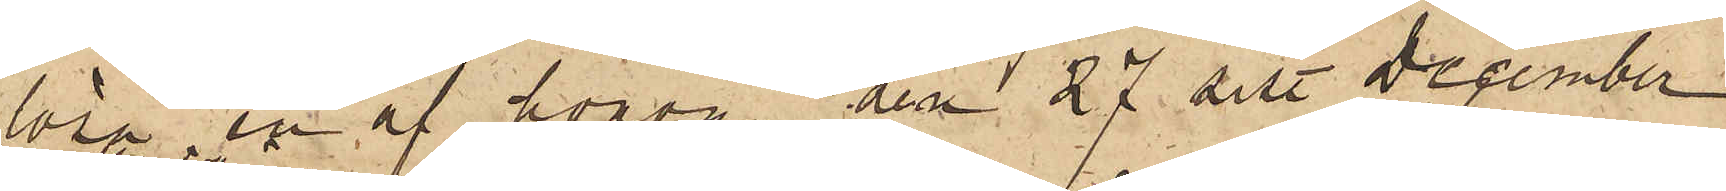lösa en af honom den 27 sist. December
